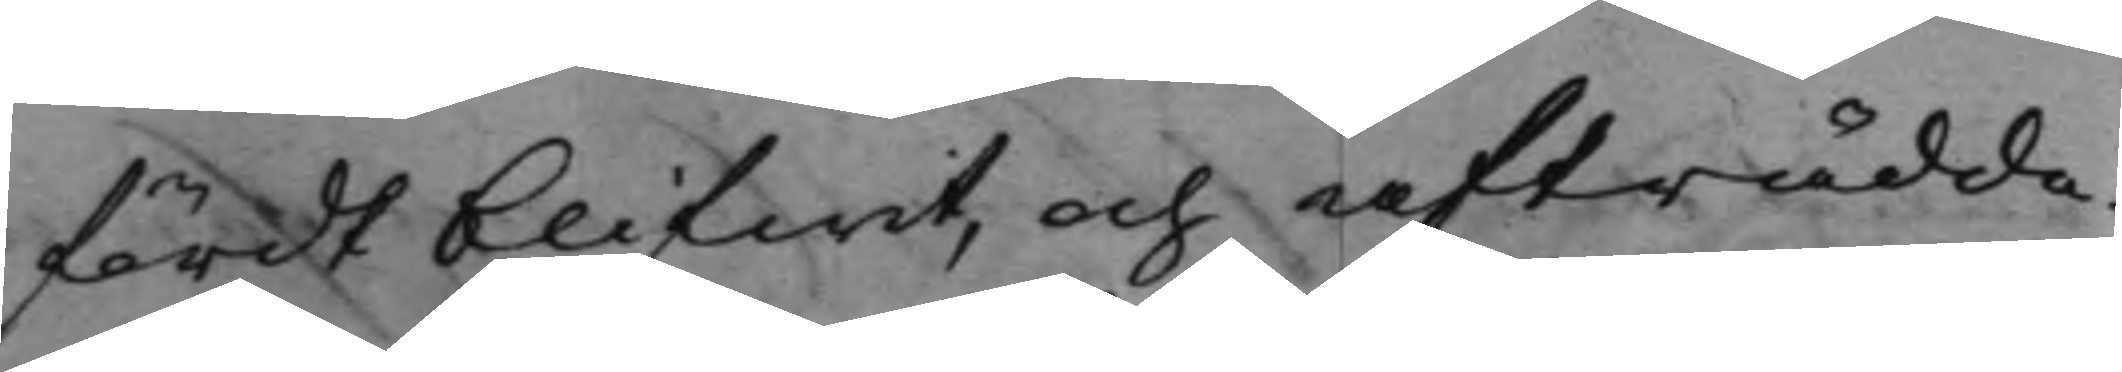fördt blifwit, och afträdde.
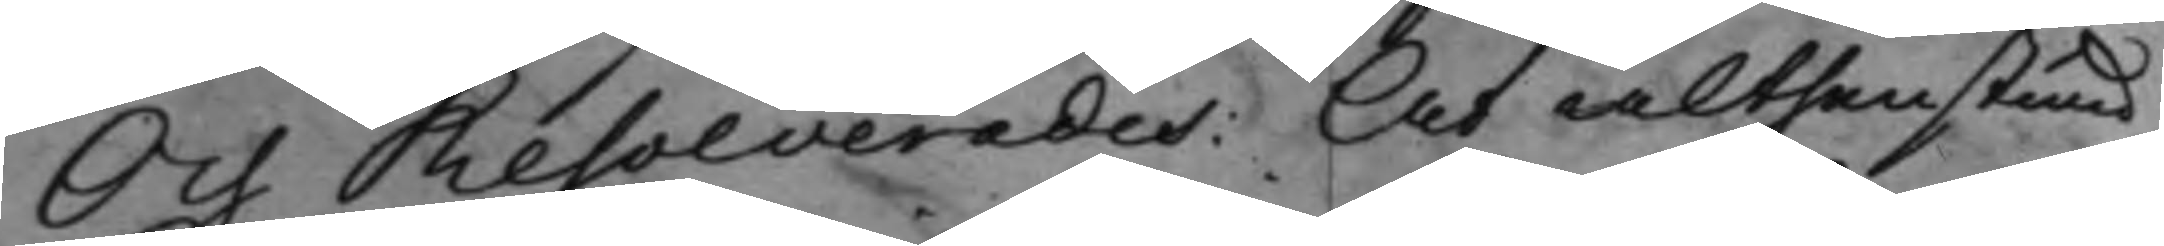Och Resolverades: At althenstund
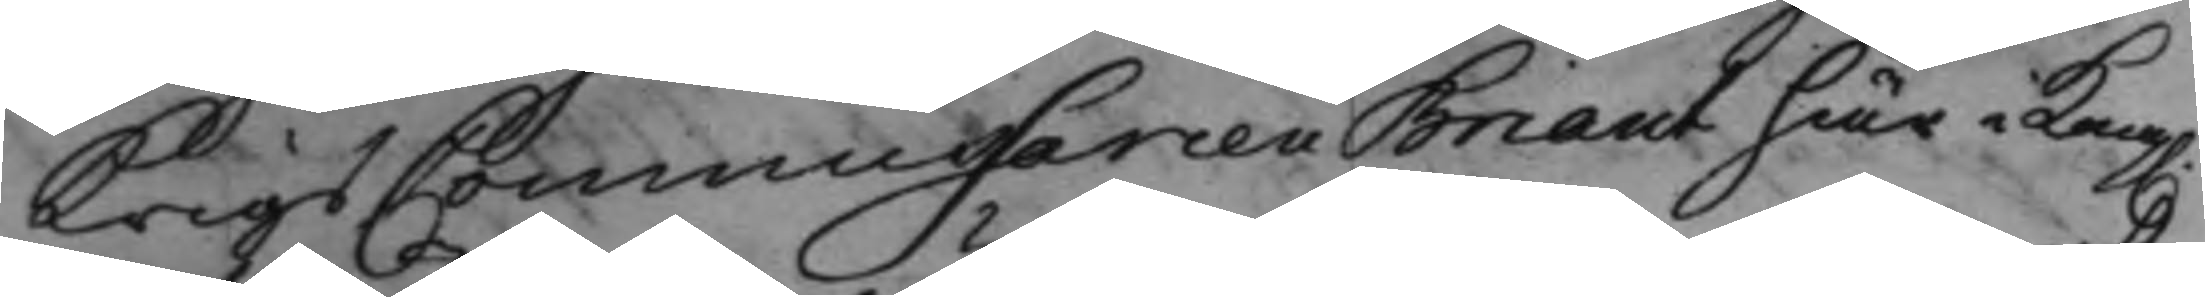KrigsCommissarien Briant här i Kong.
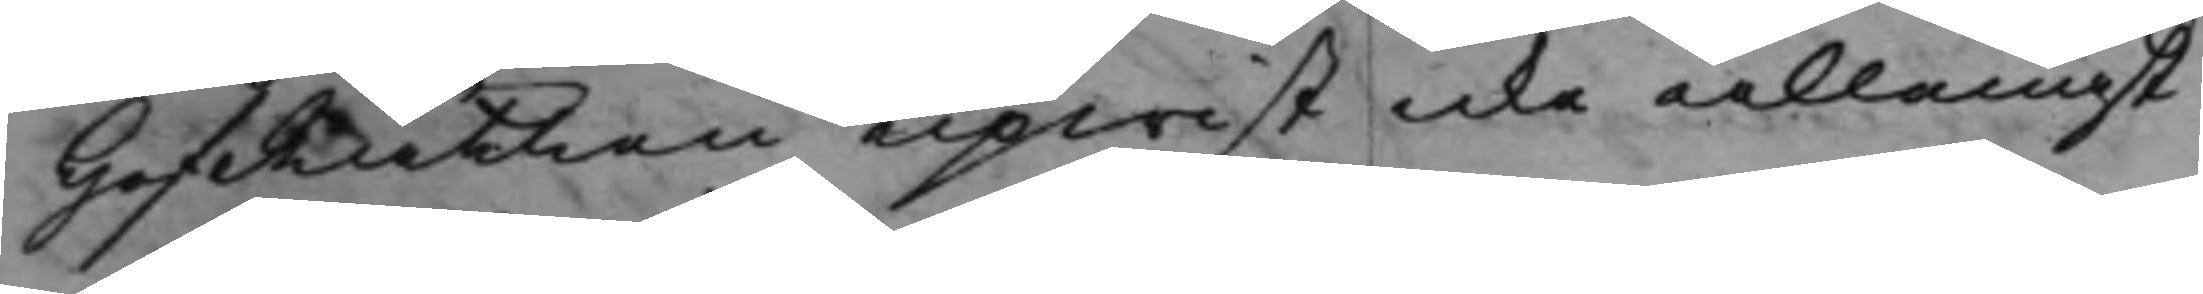HofRätten upwist icke allenast
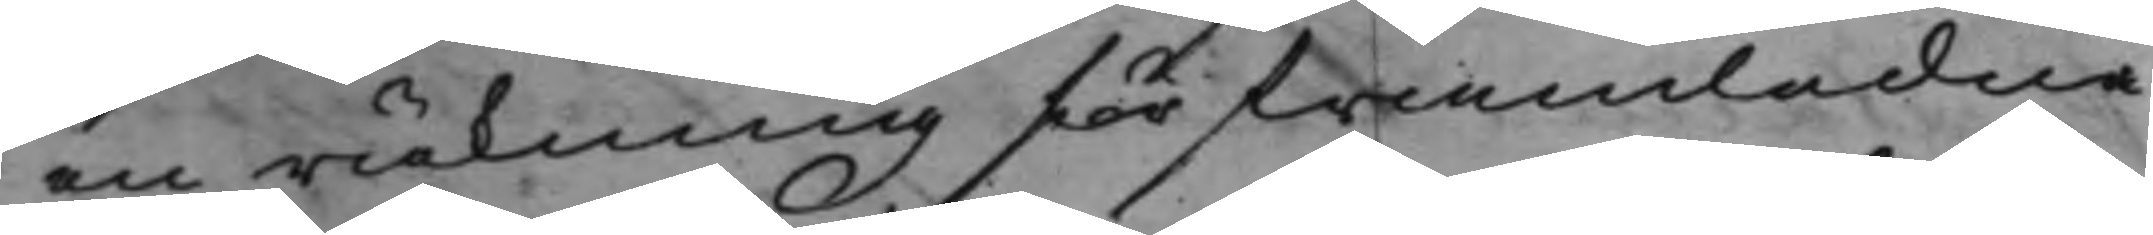en räkning för framledna
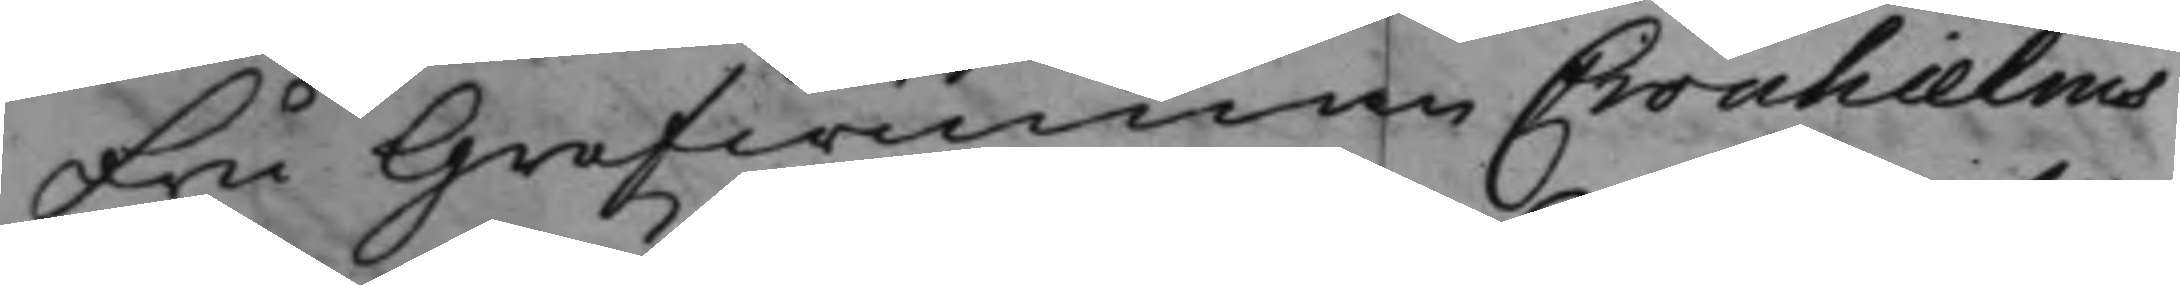Fru Grefwinnan Cronhielms
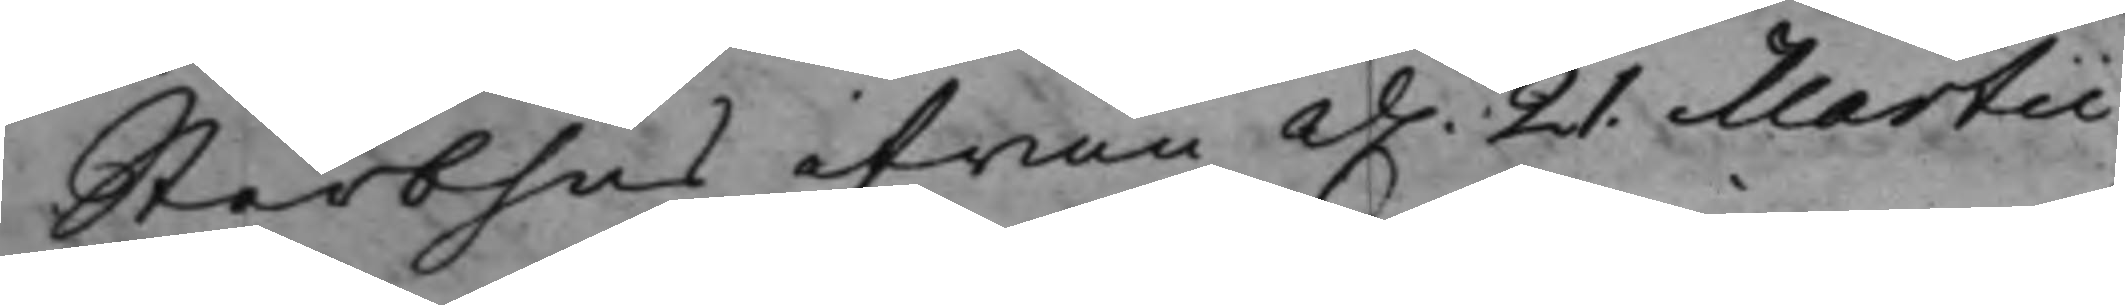Sterbhus ifrån d. 21. Martii
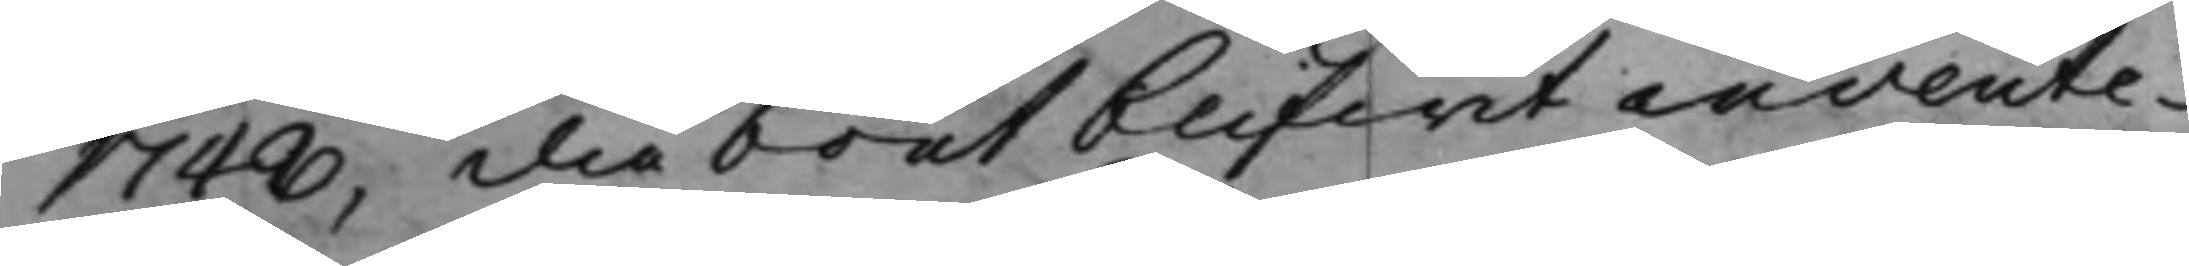1748, då boet blifwit invente¬
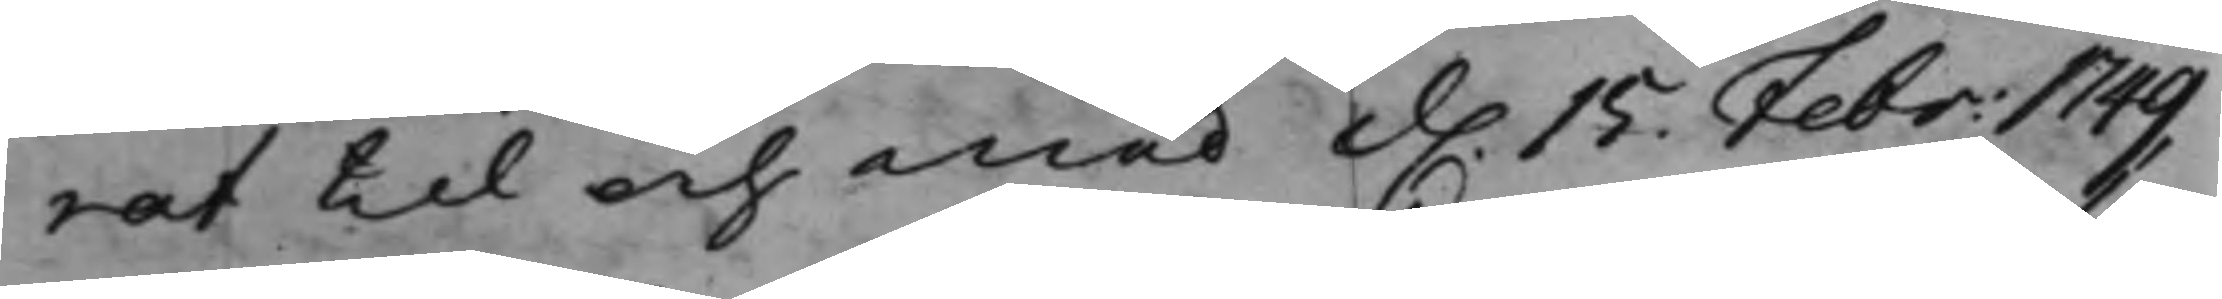rat til och med d. 15. Febr: 1749
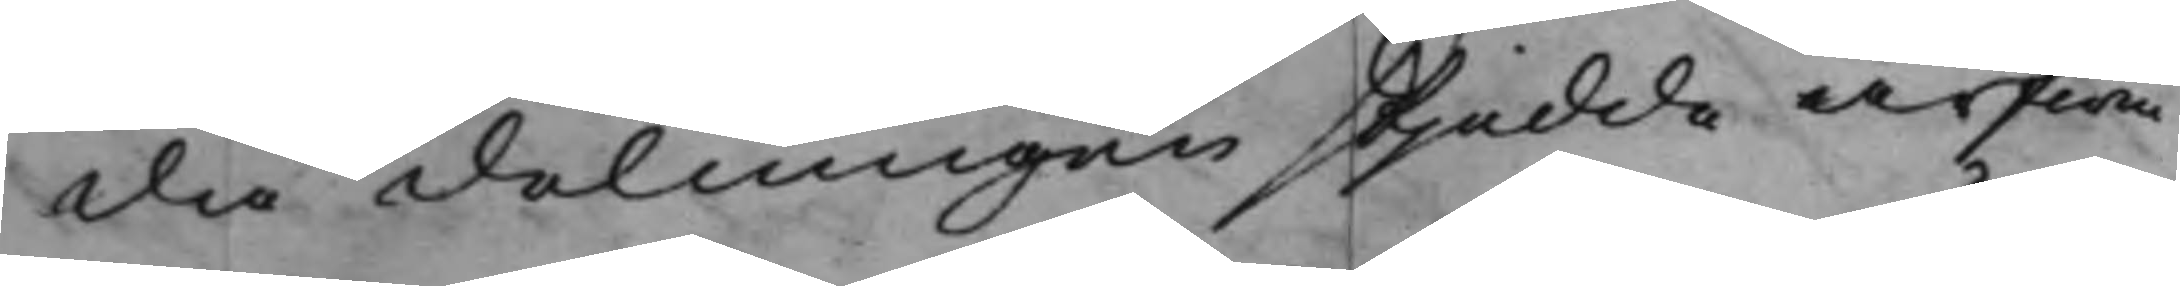då delningen skjedde arfwin¬
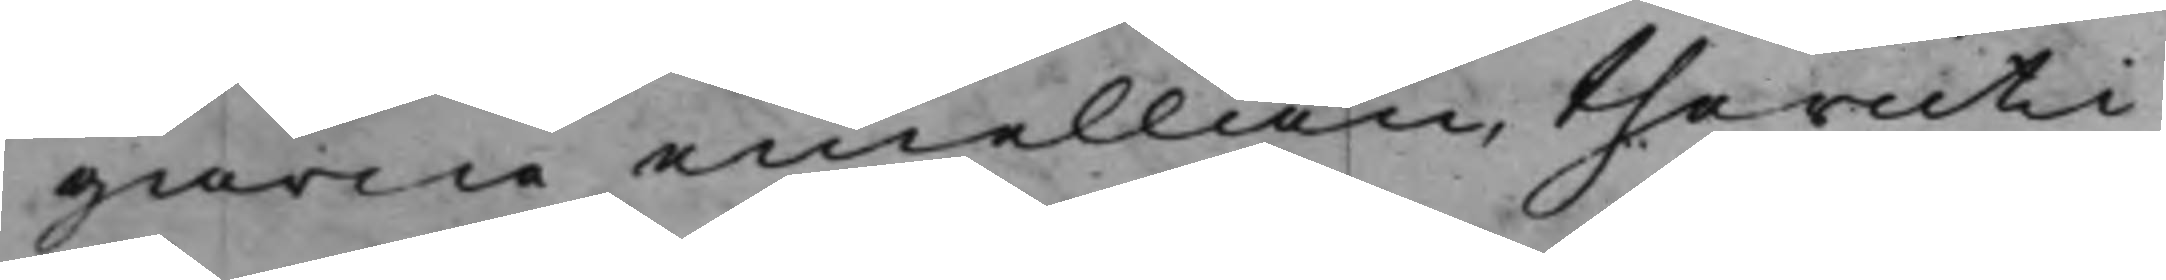garne emellan, theruti
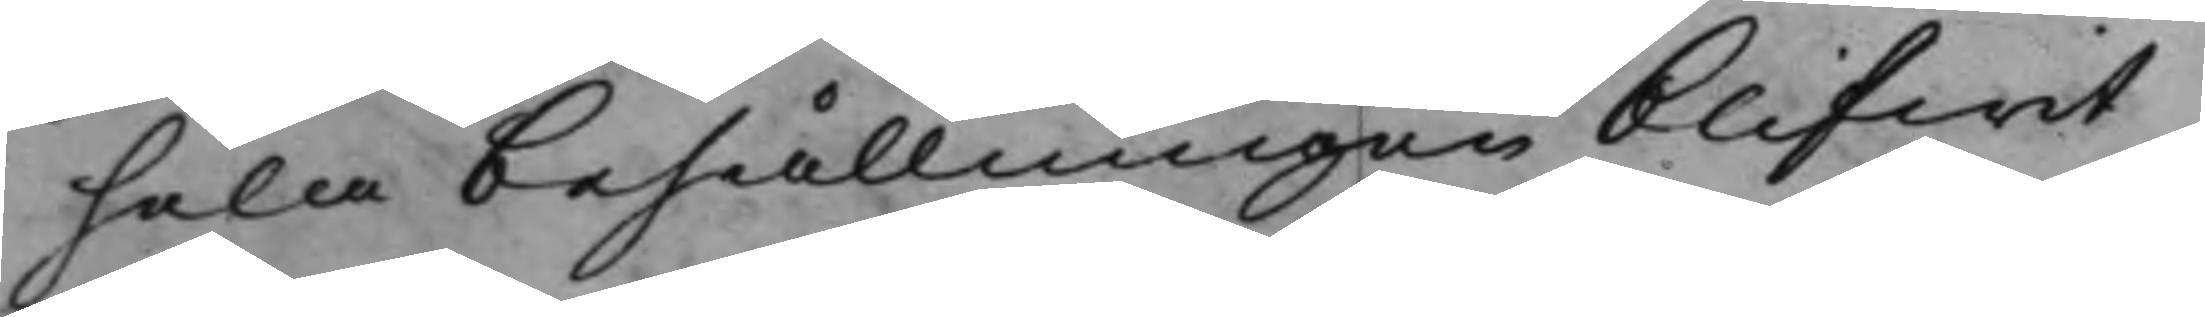hela behållningen blifwit
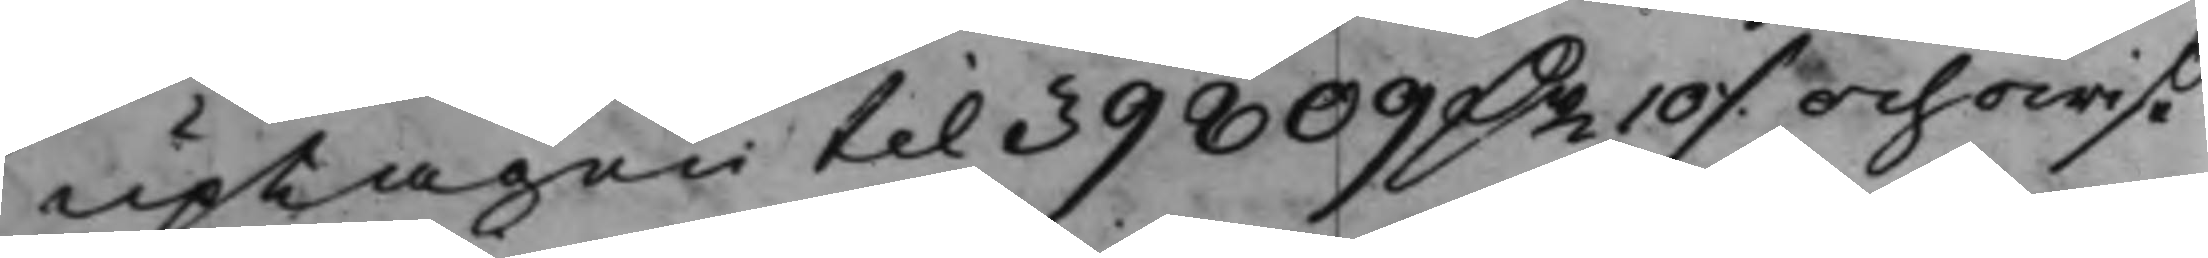uptagen til 39809 D.r 10 ./. och owiße
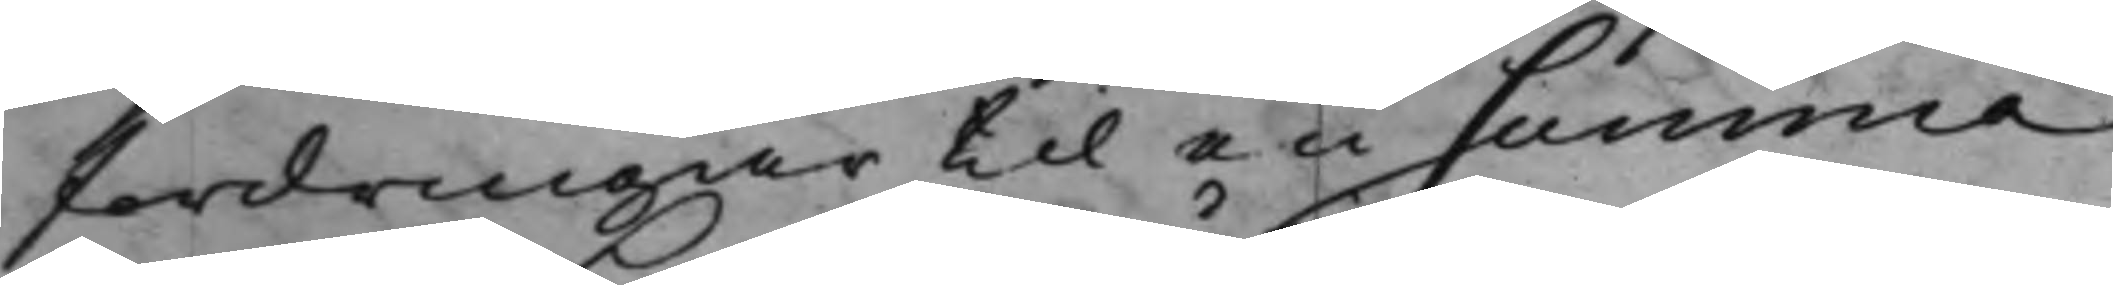fordringar til en summa
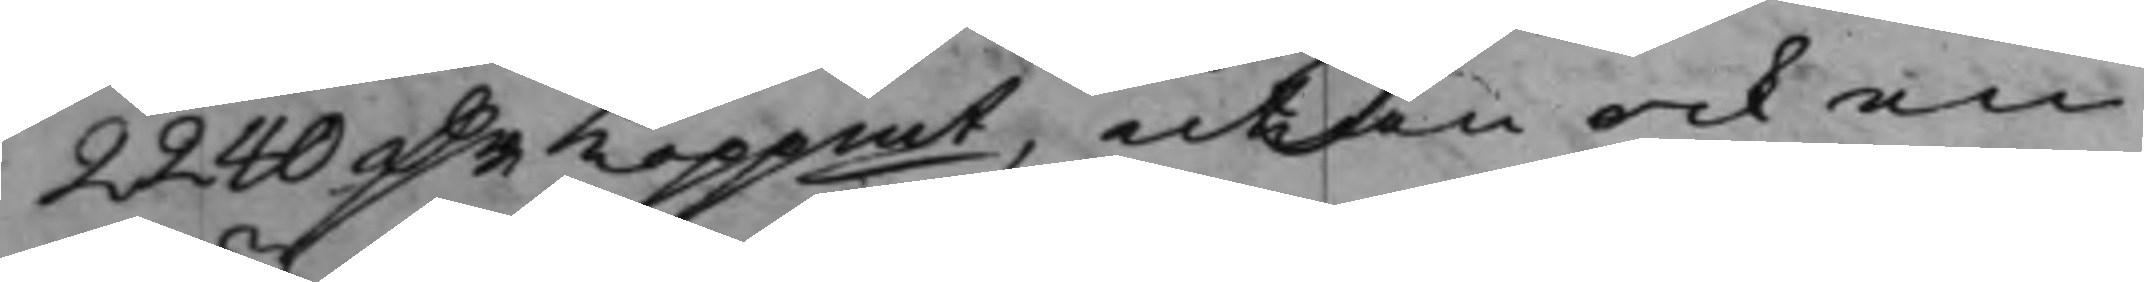2240 D.r Koppmt, utan ock en
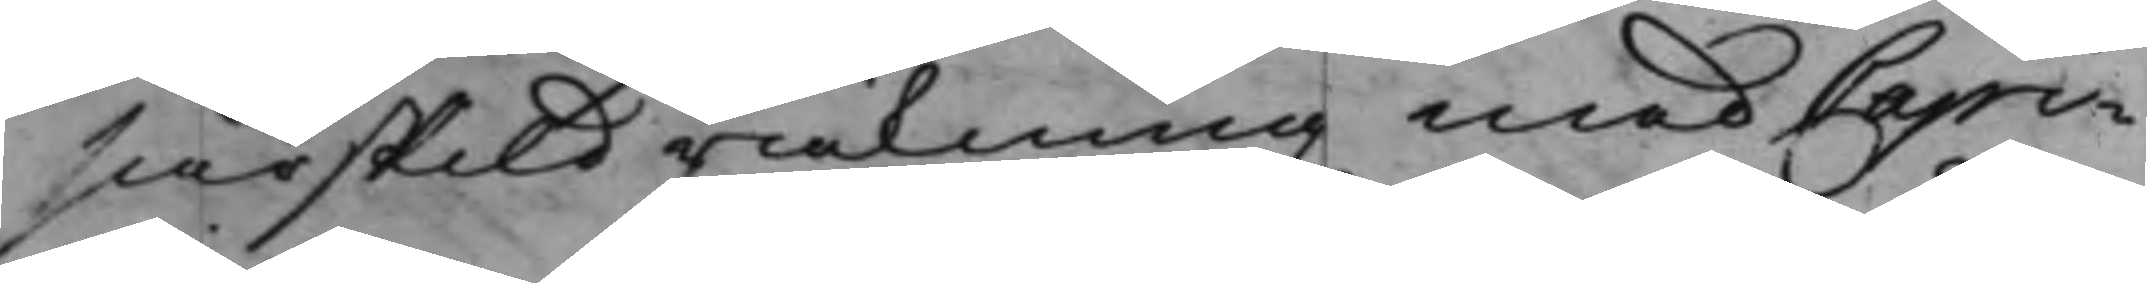särskild räkning med Capi¬
